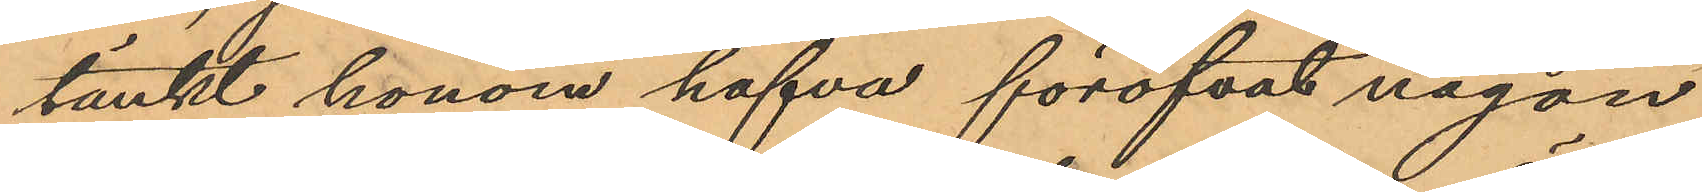tänkt honom hafva föröfvat någon
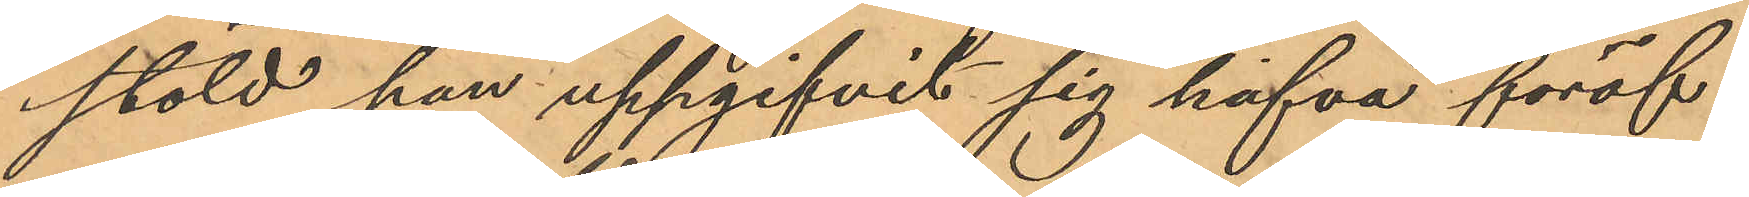stöld han uppgifvit sig hafva föröf¬
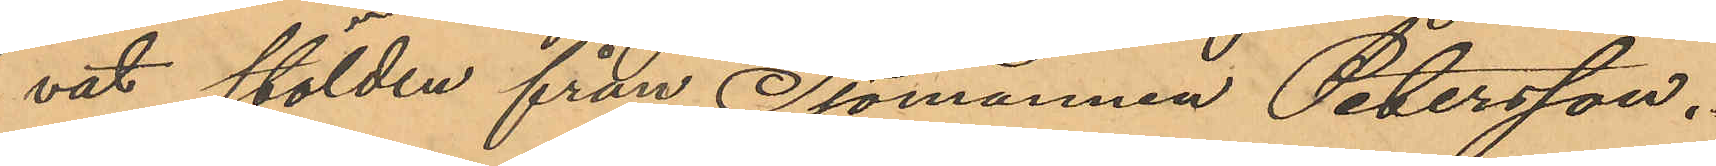vat stölden från Sjömannen Petersson.
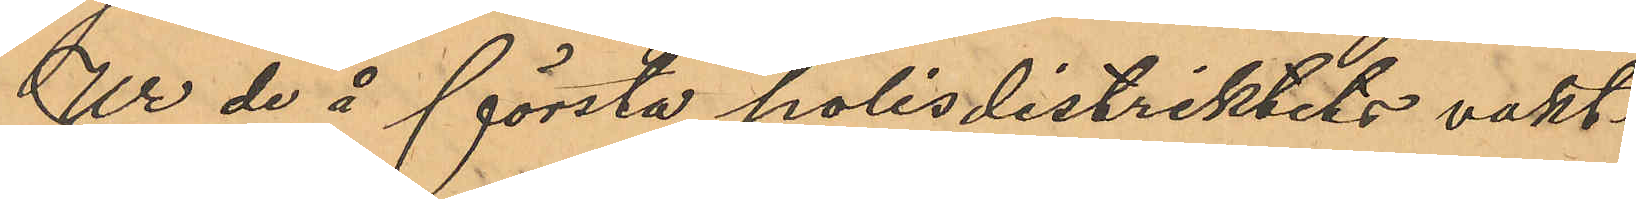Ur de å första polisdistriktets vakt¬
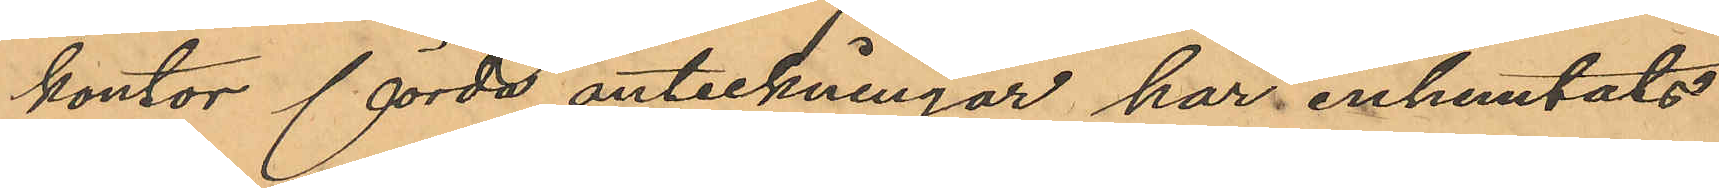kontor förda anteckningar har inhemtats
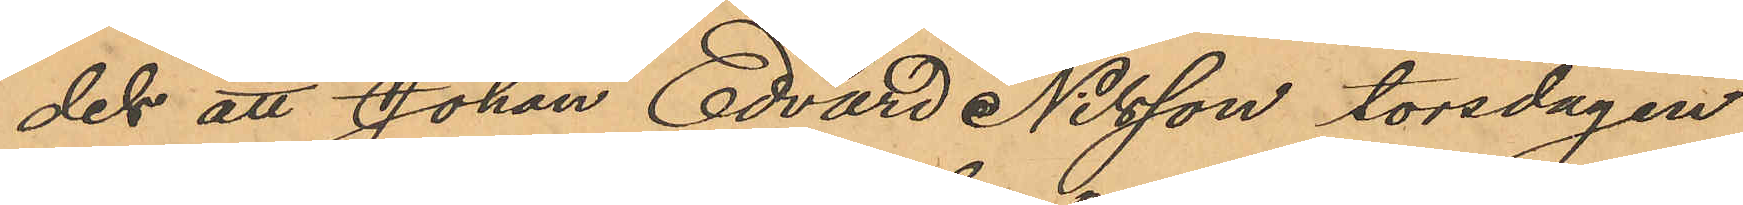dels att Johan Edvard Nilsson torsdagen
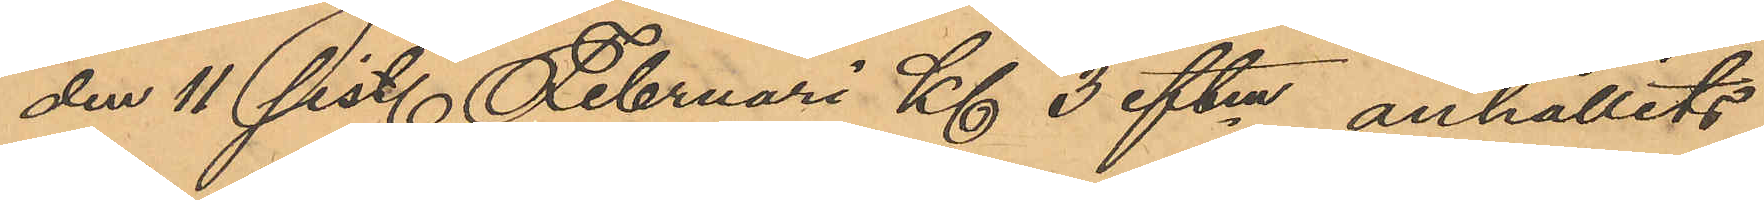den 11 sist. Februari Kl 3 eftm, anhållits
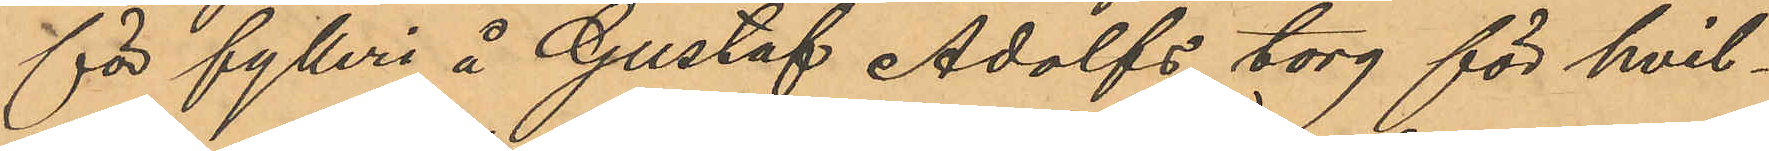för fylleri å Gustaf Adolfs torg för hvil¬
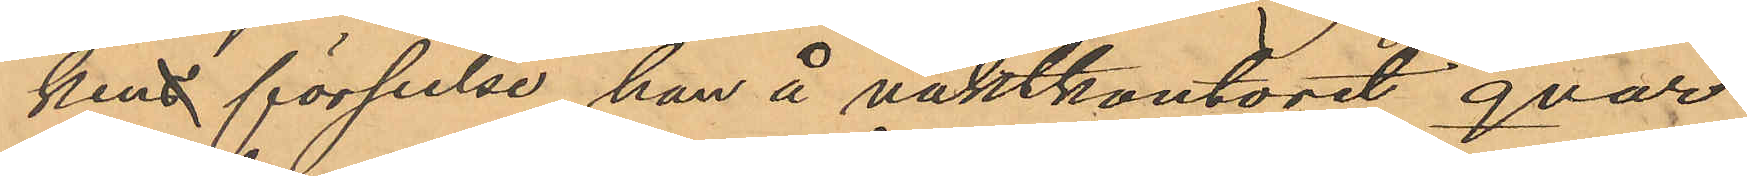ken förseelse han å vaktkontoret qvar¬
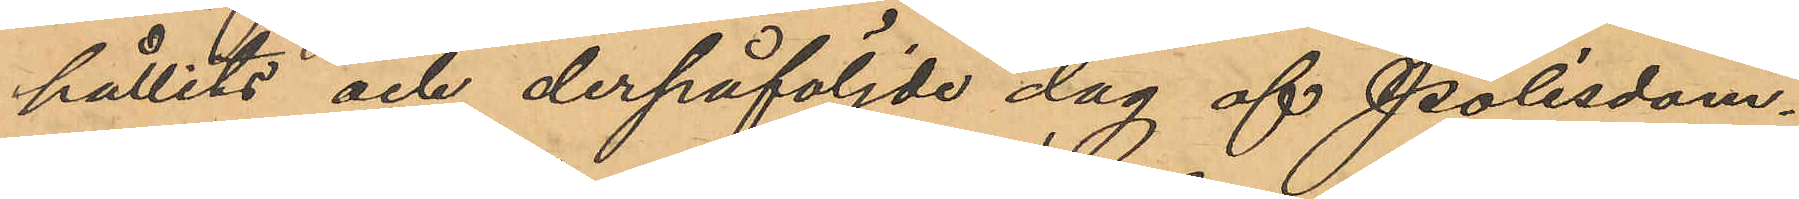hållits och derpåföljde dag af Polisdom¬
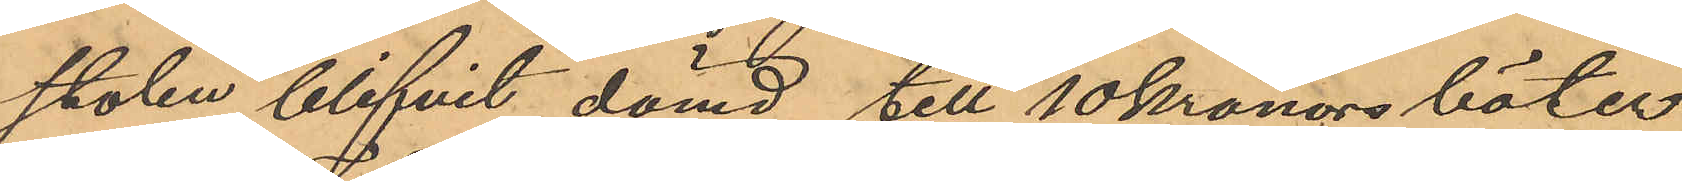stolen blifvit dömd till 10 kronors böter
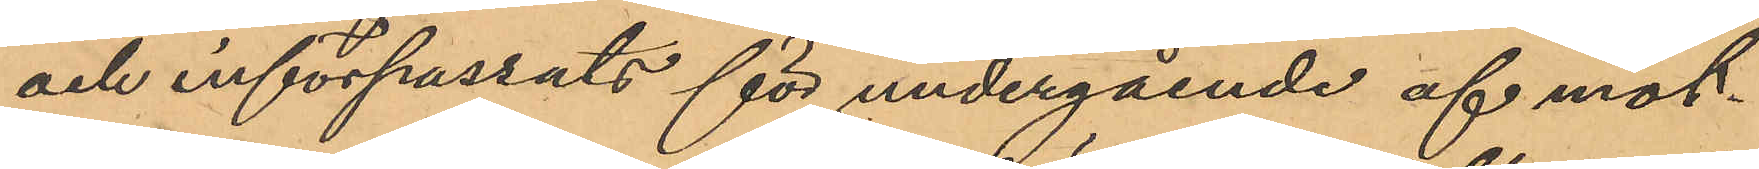och införpassats för undergående af mot¬
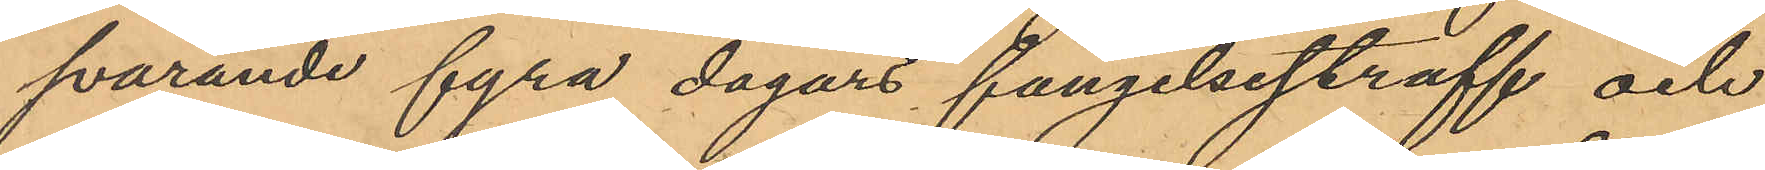svarande fyra dagars fängelsestraff och
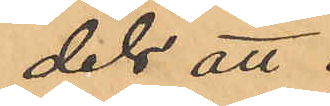dels att
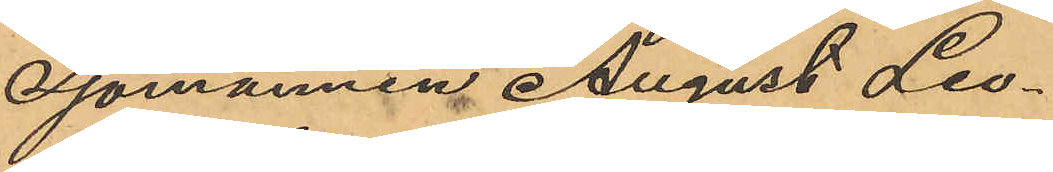Sjömannen August Leo¬
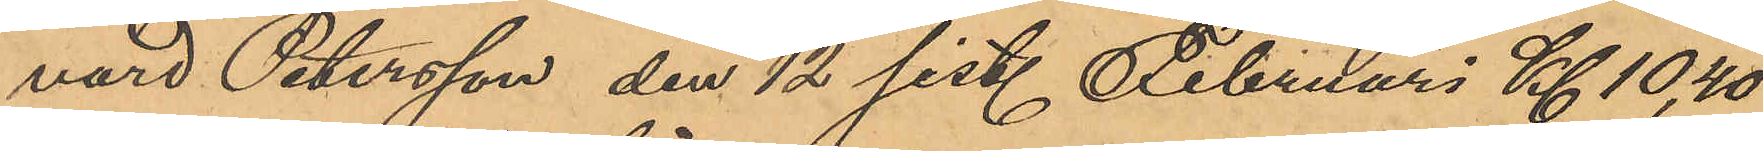nard Petersson den 12 sist. Februari Kl 10,40
